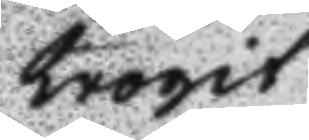trogit
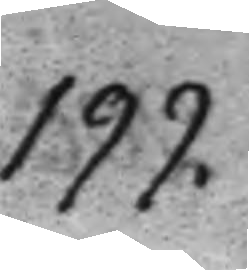199.
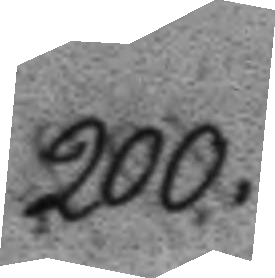200.
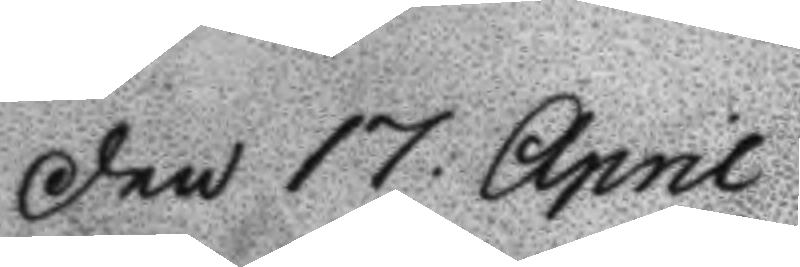Den 17 April
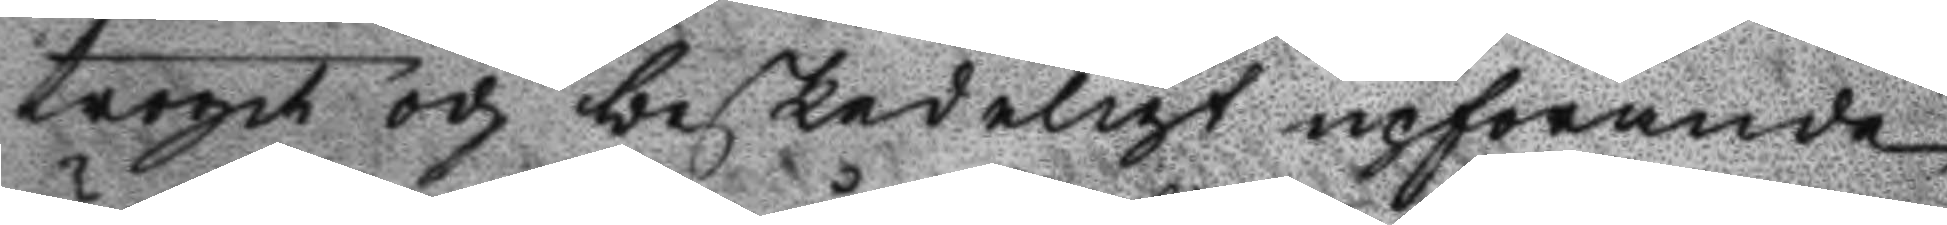troget och beskedeligt upförande
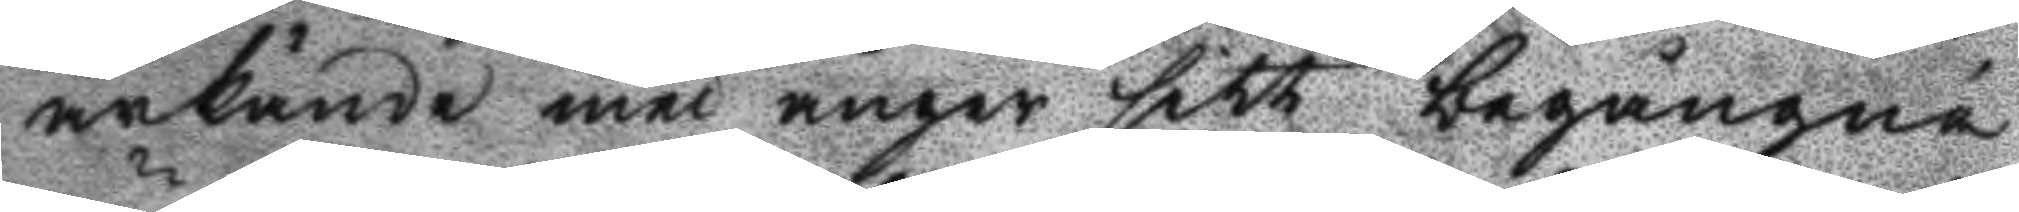ärkände med ånger sitt begångne
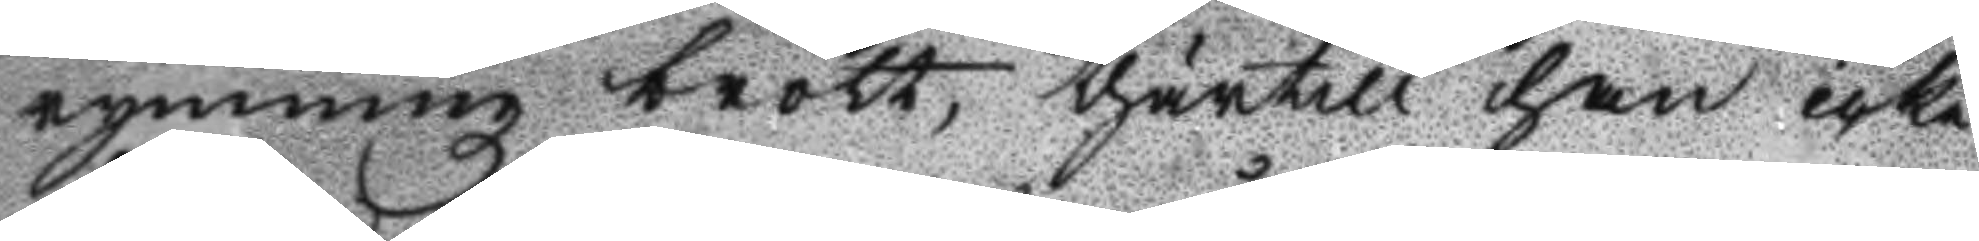rymningz brott, thärtill han icke
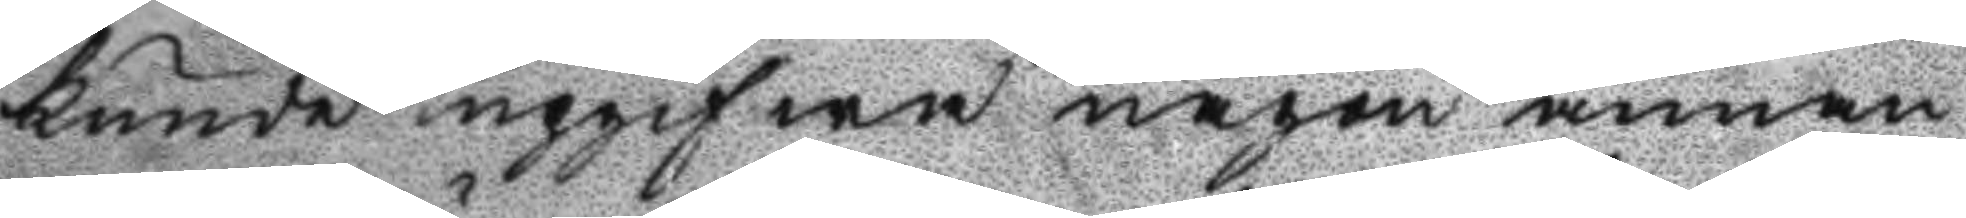kunde upgifwa någon annan
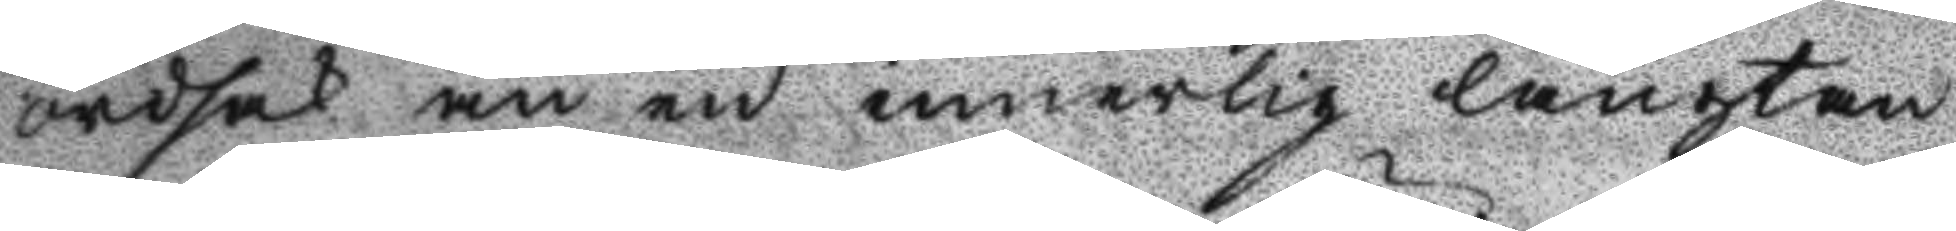ordsak än en innerlig längtan
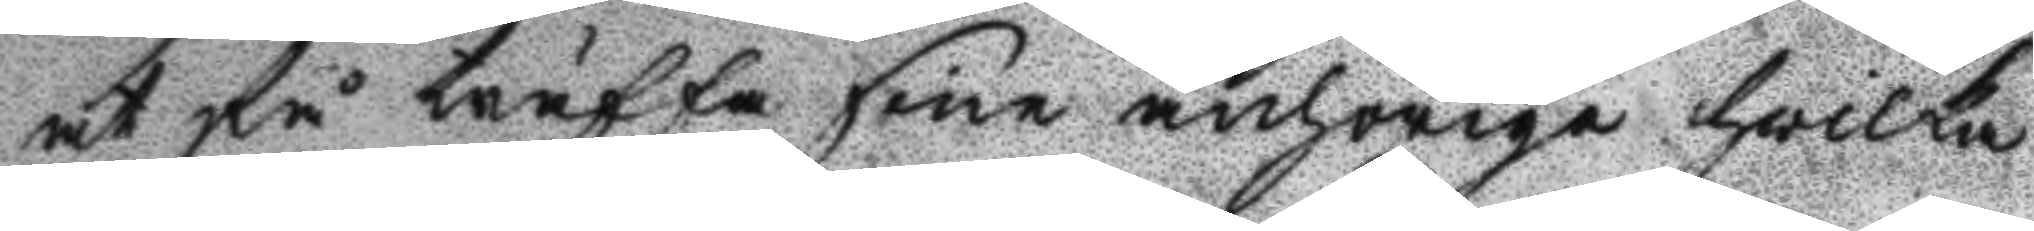at få träffa sine anhörige hvilka
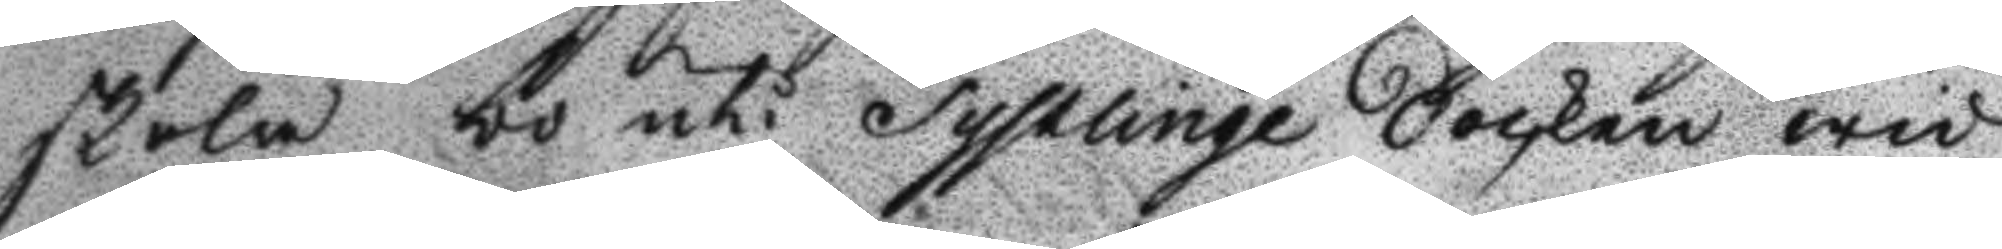skola bo uti Tysslinge Socken wid
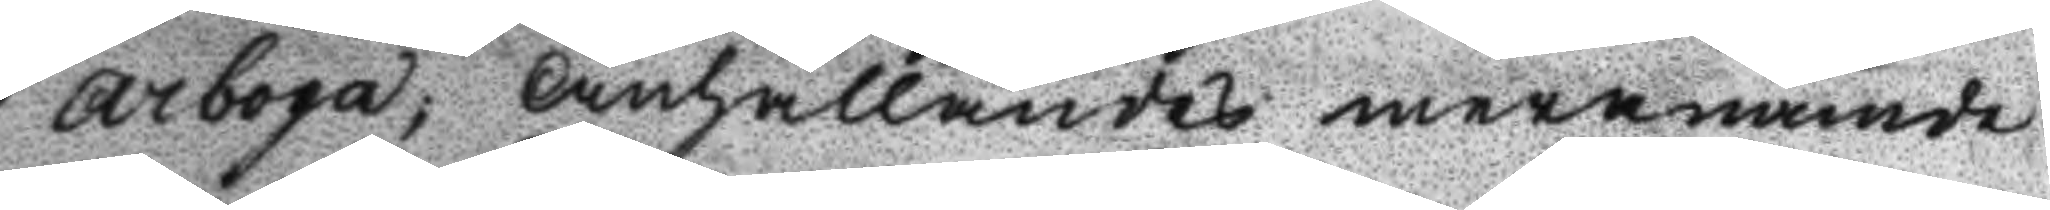Arboga; Anhållandes meranämde
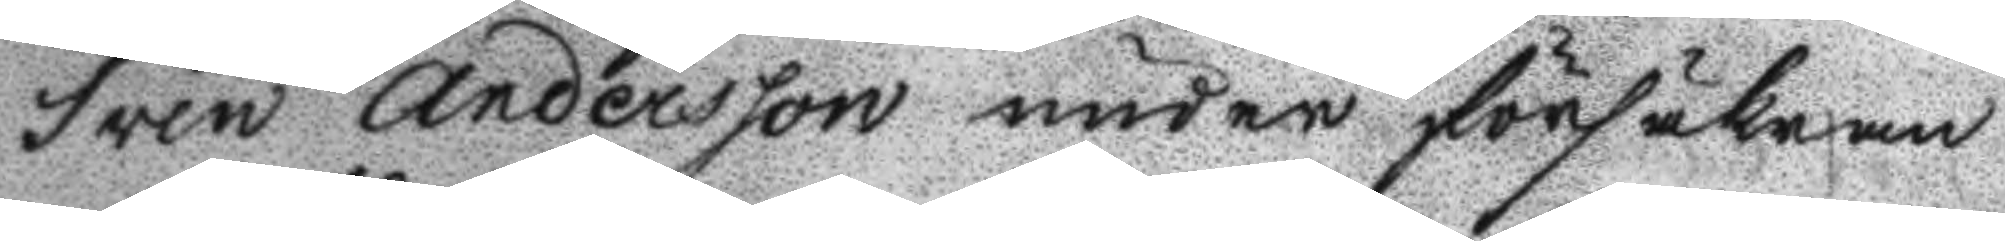Sven Andersson under försäkran
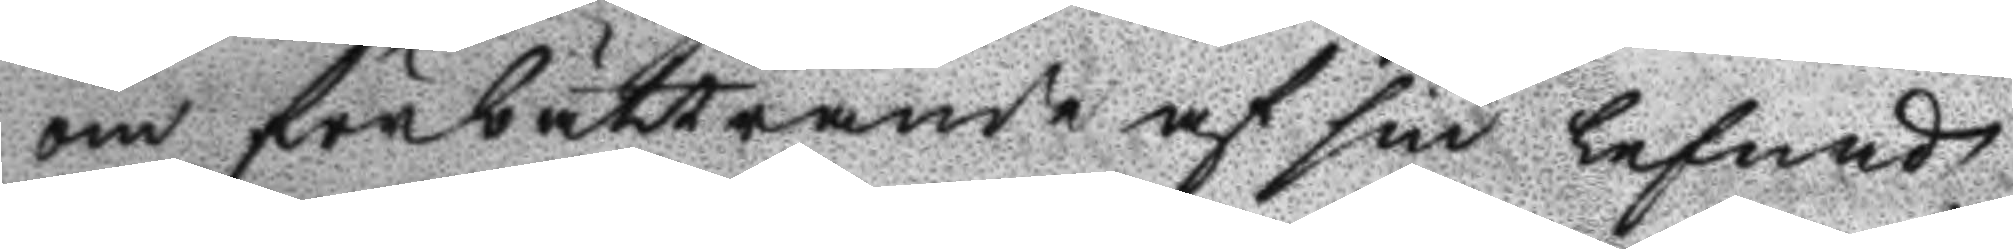om förbättrande af sin lefnads
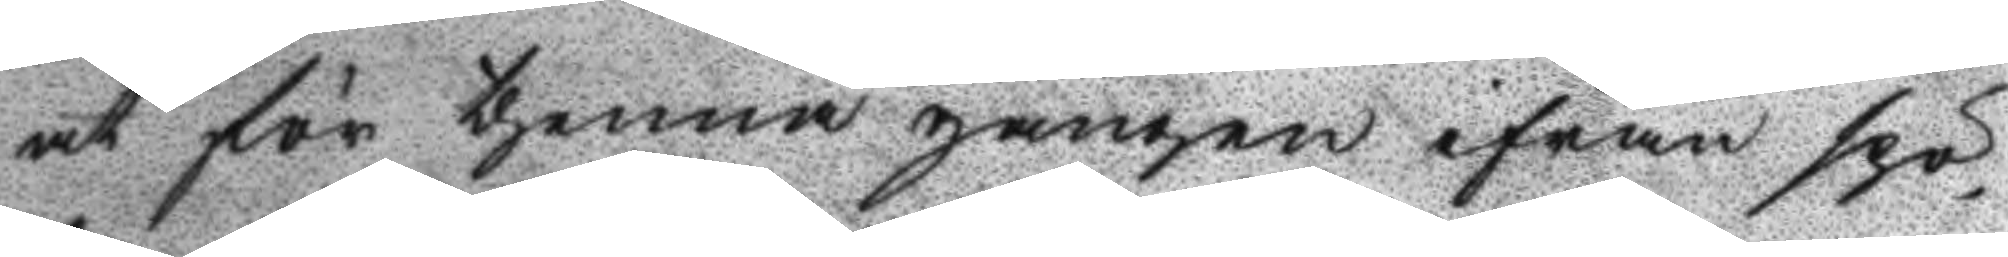at för thenna gången ifrån spö¬
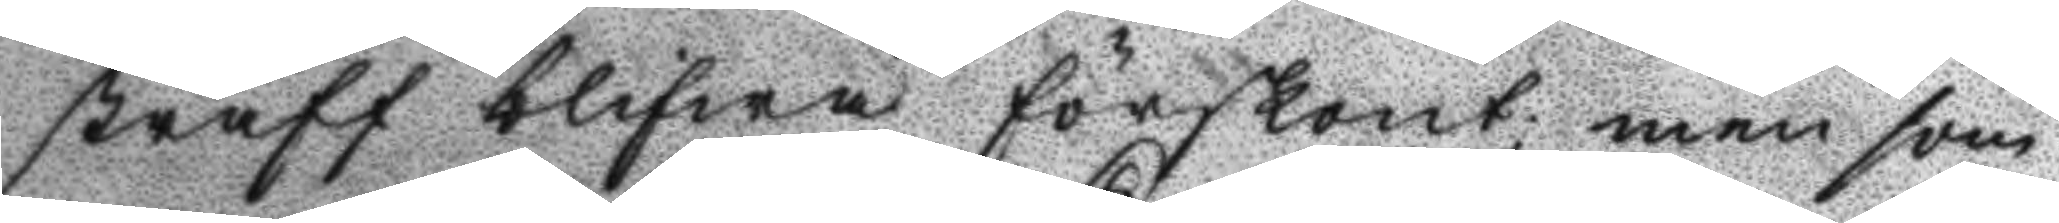straff blifwa förskont; men som
